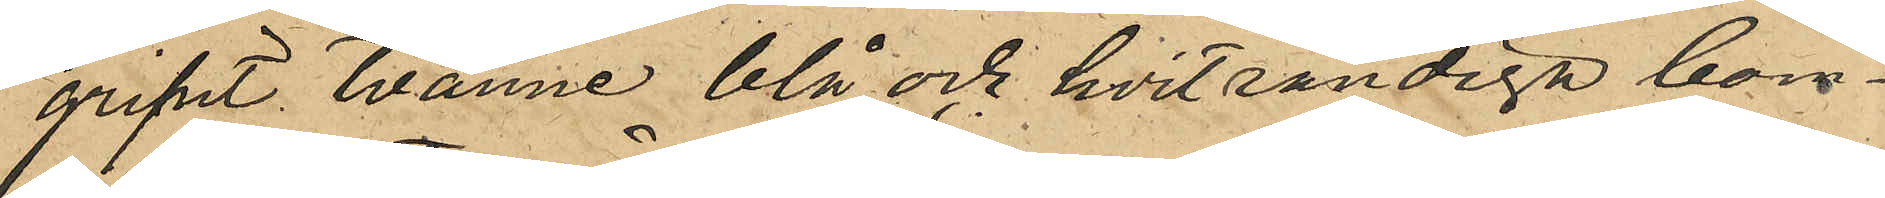gripit tvänne blå och hvitrandiga bom¬
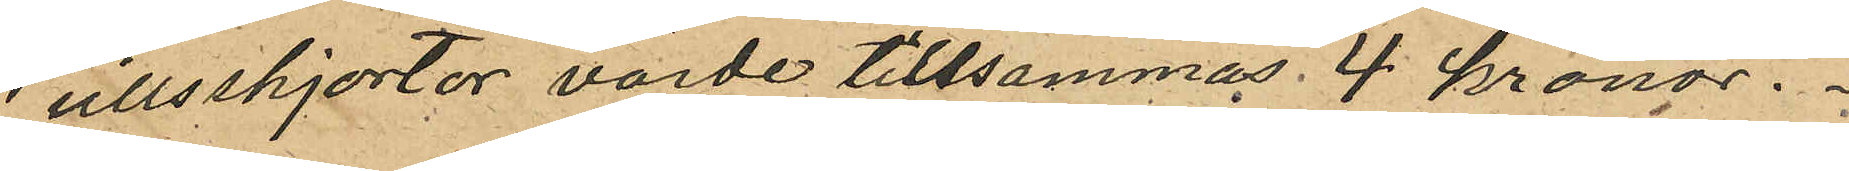ullsskjortor värde tillsammas 4 kronor.
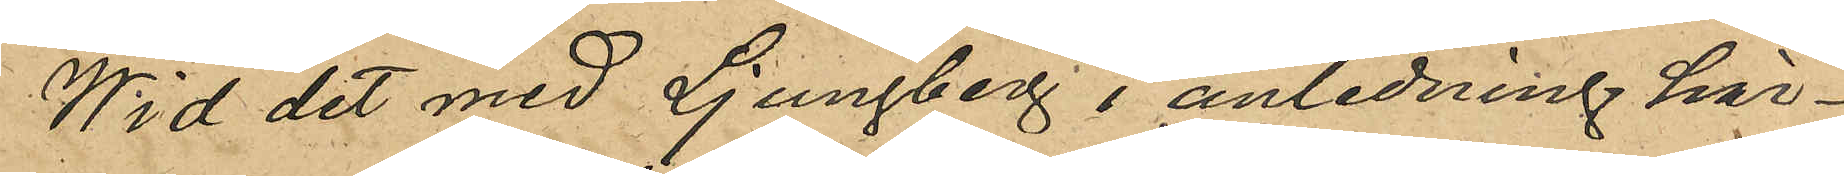Wid det med Ljungberg i anledning här¬
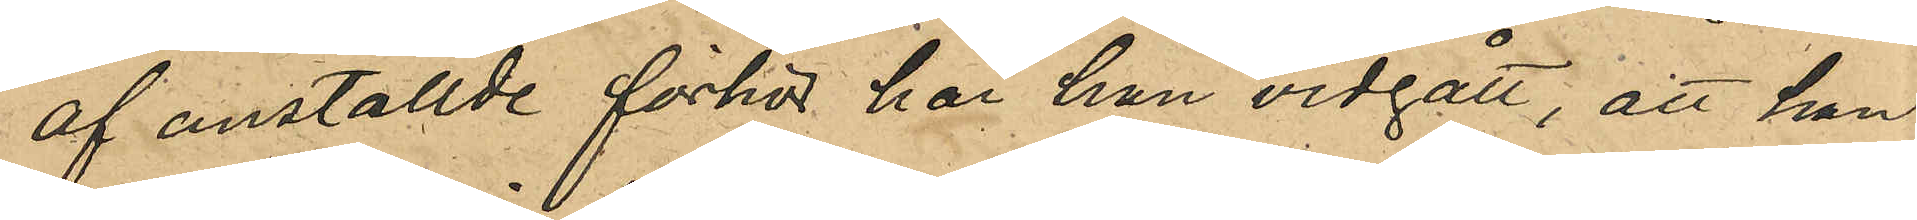af anstallde förhör har han vidgått, att han
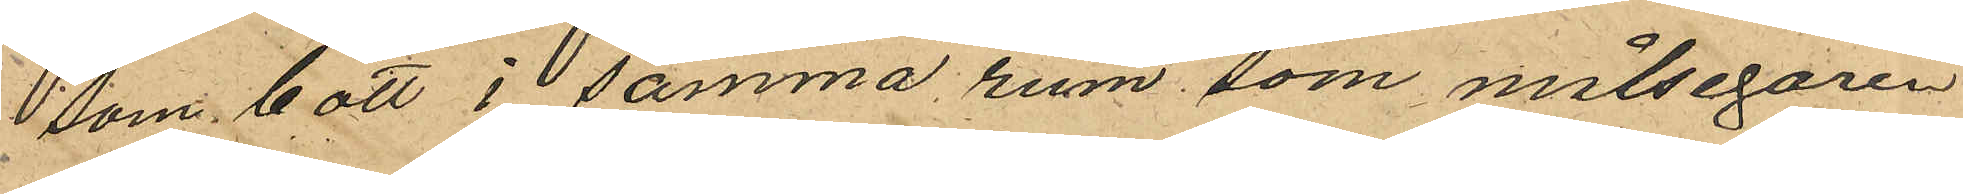som bott i samma rum som målsegaren
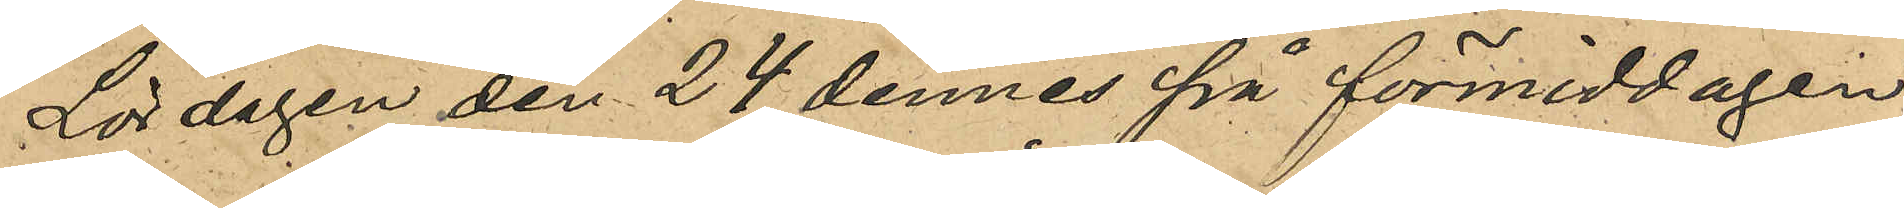Lördagen den 24 dennes på förmiddagen
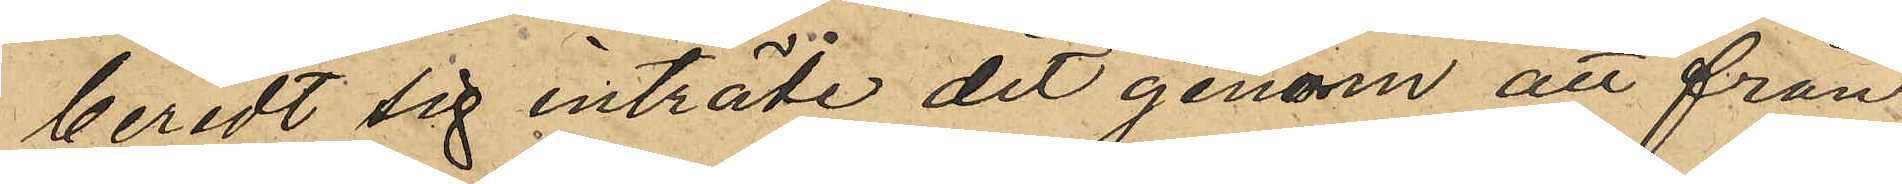beredt sig inträde dit genom att från
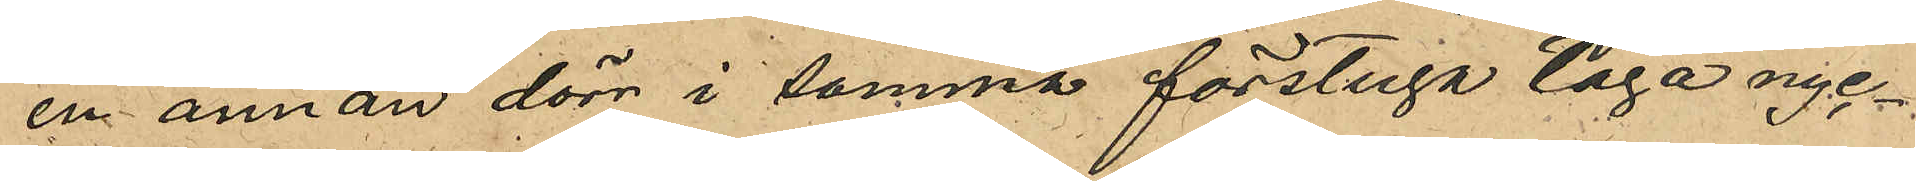en annan dörr i samma förstuga taga nyc¬
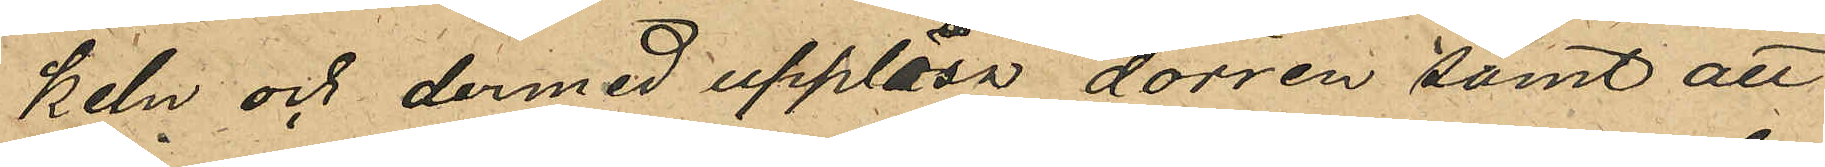keln och dermed upplåsa dörren samt att
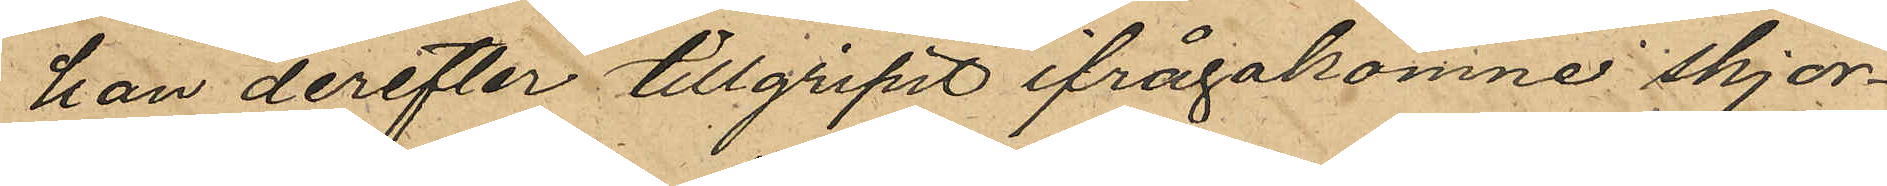han derefter tillgripit ifrågakomne skjor¬
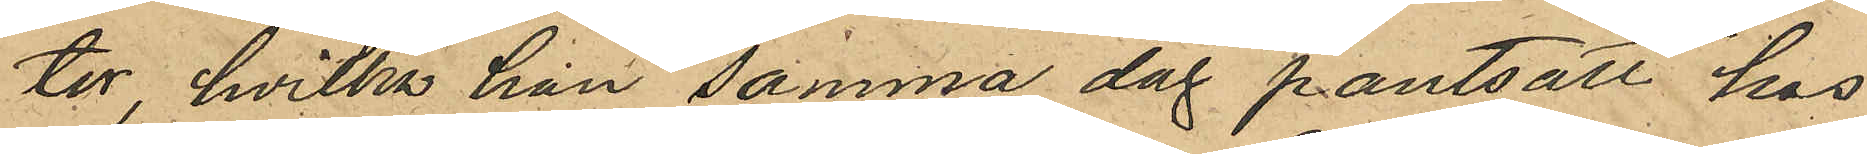ter, hvilka han samma dag pantsatt hos
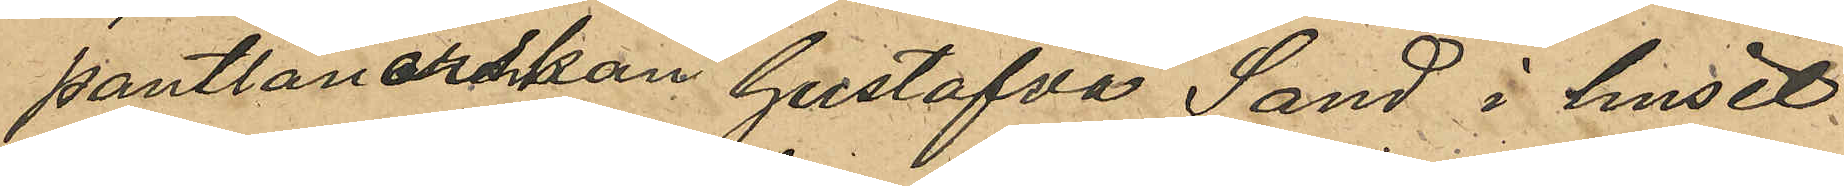pantlånerskan Gustafva Sand i huset
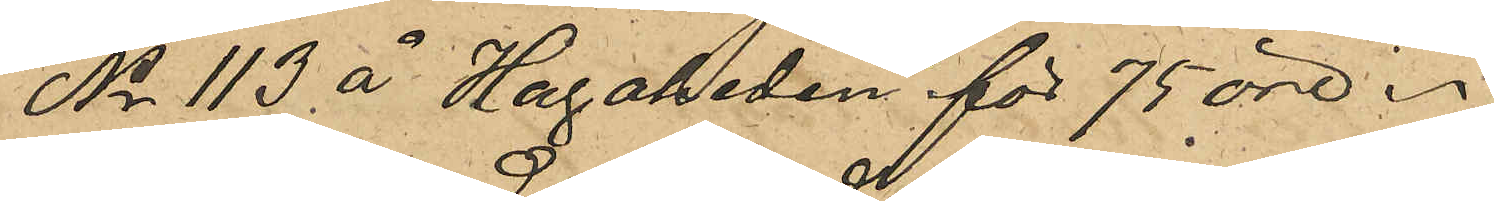No 113 å Hagaheden för 75 öre.
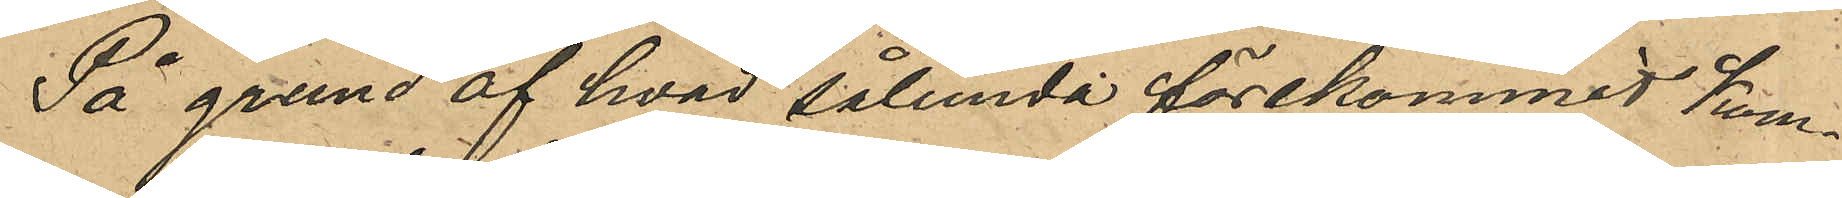På grund af hvad sålunda förekommit kom¬
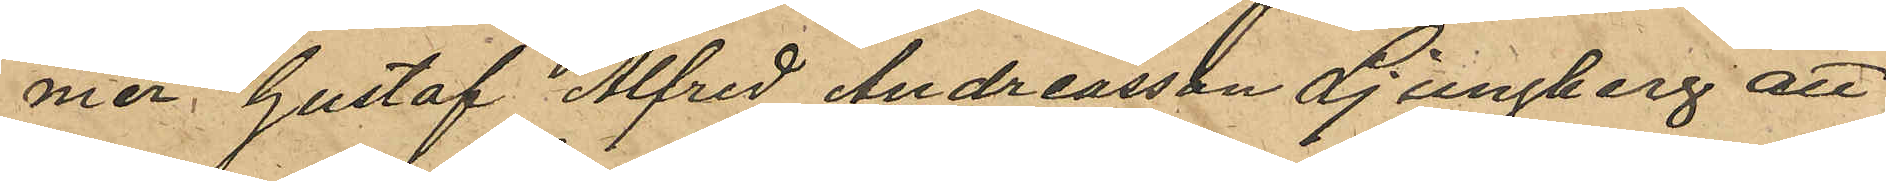mer Gustaf Alfred Andreasson Ljungberg att
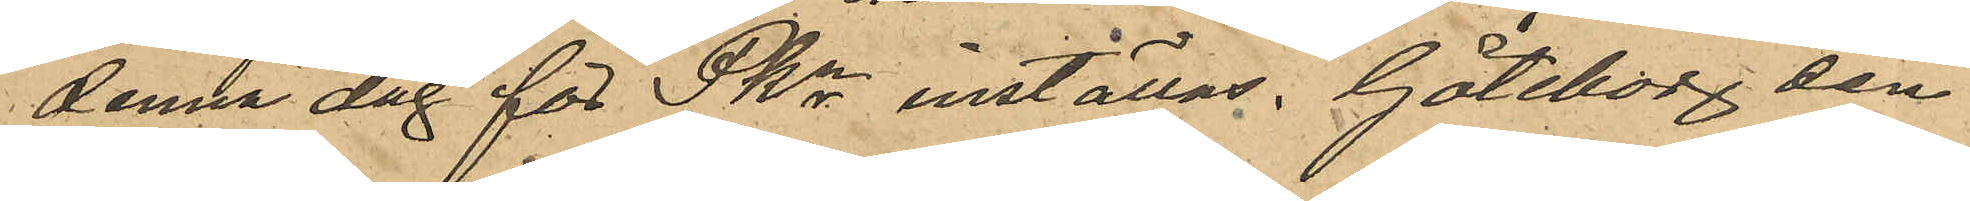denna dag för Pkn inställas. Göteborg den
